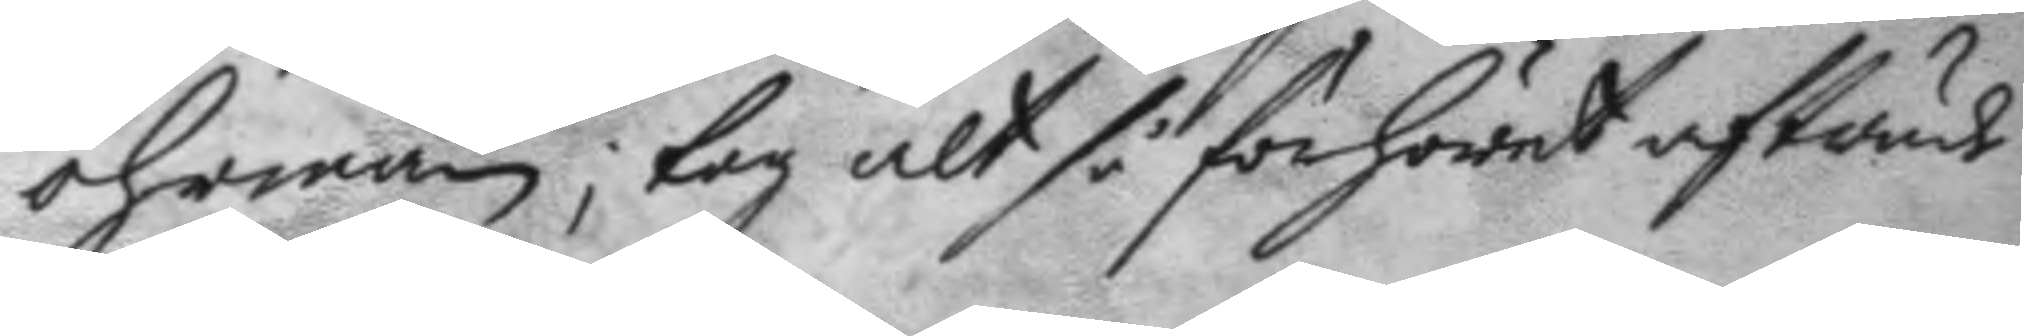öhrman; tog alt så förhöret afträde
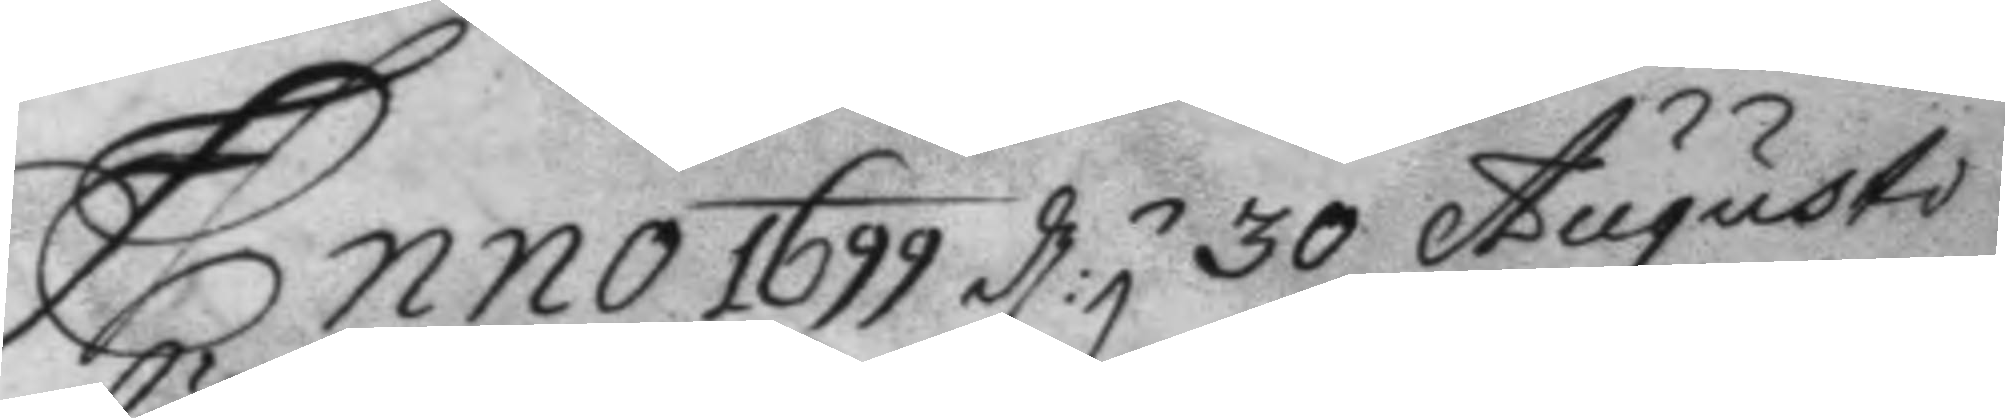Anno 1699 d.n  30 Augusto 
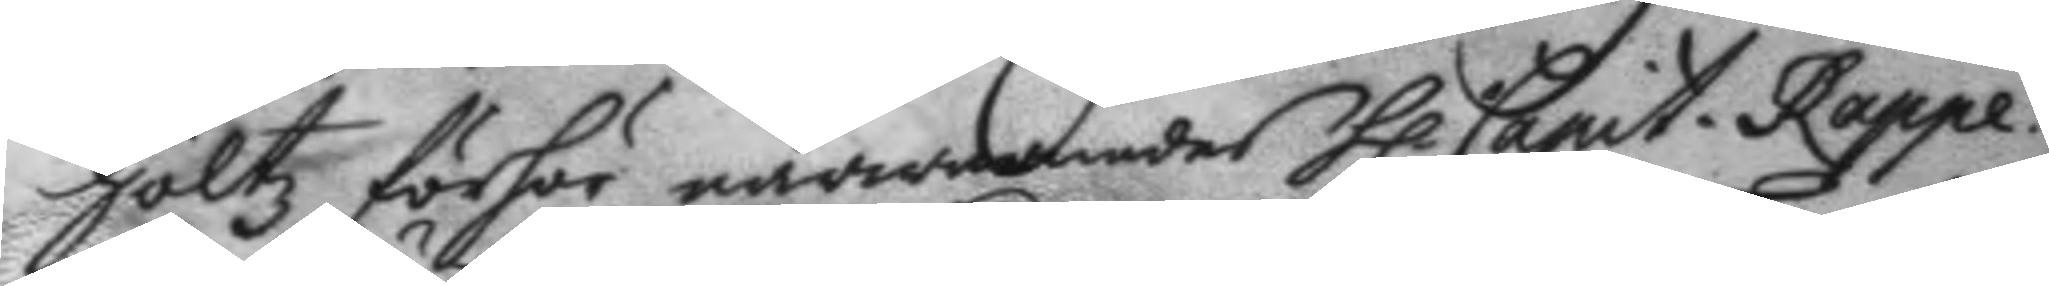höltz förhör närwarandes h.r Capit. Rappe. 
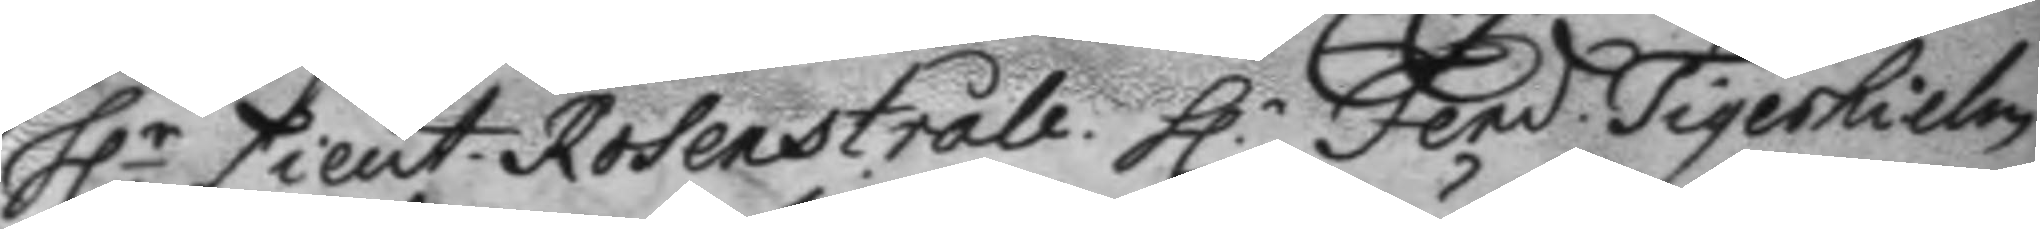h.r Lieut. Rosenstråle. h:r Fend: Tigerhielm 
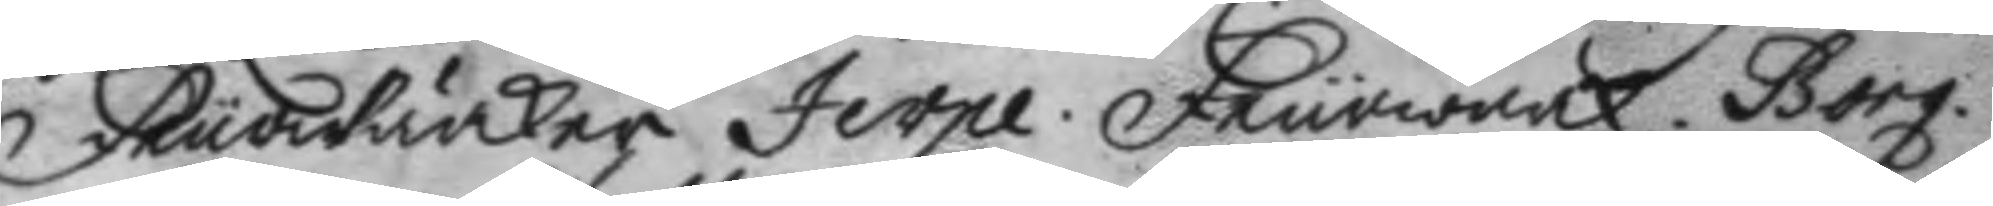Feurwärker Jerpe. Feurwärk. Borg.
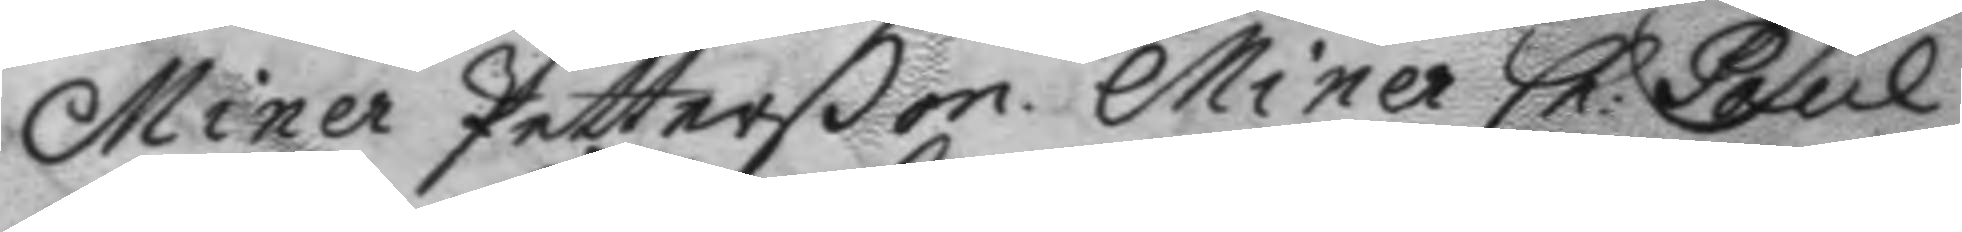Miner Petterßon. Miner Ch: Paul. 
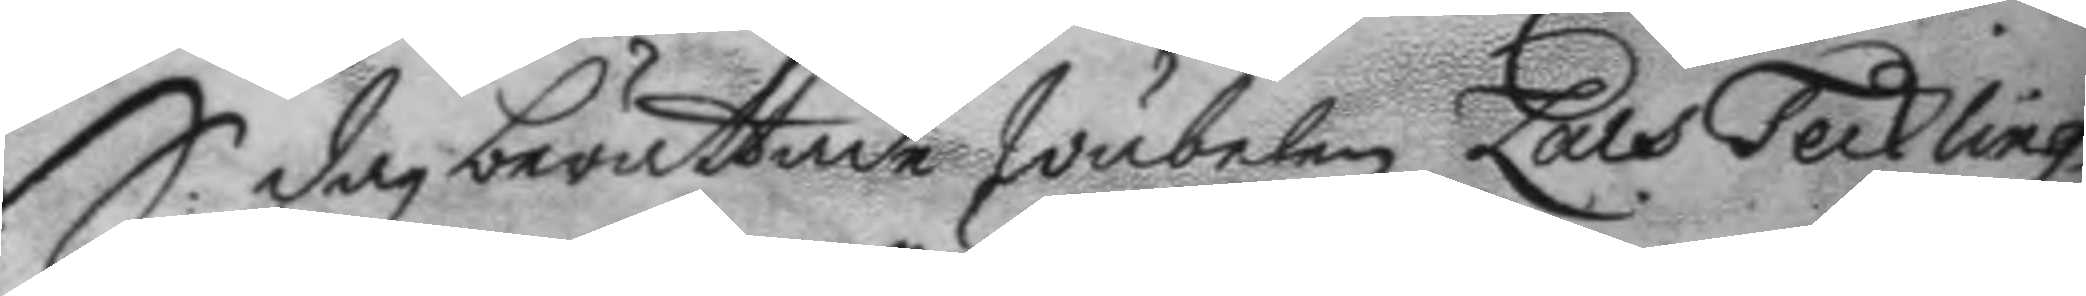S dag berättade Wäbelen Lars Teckling 
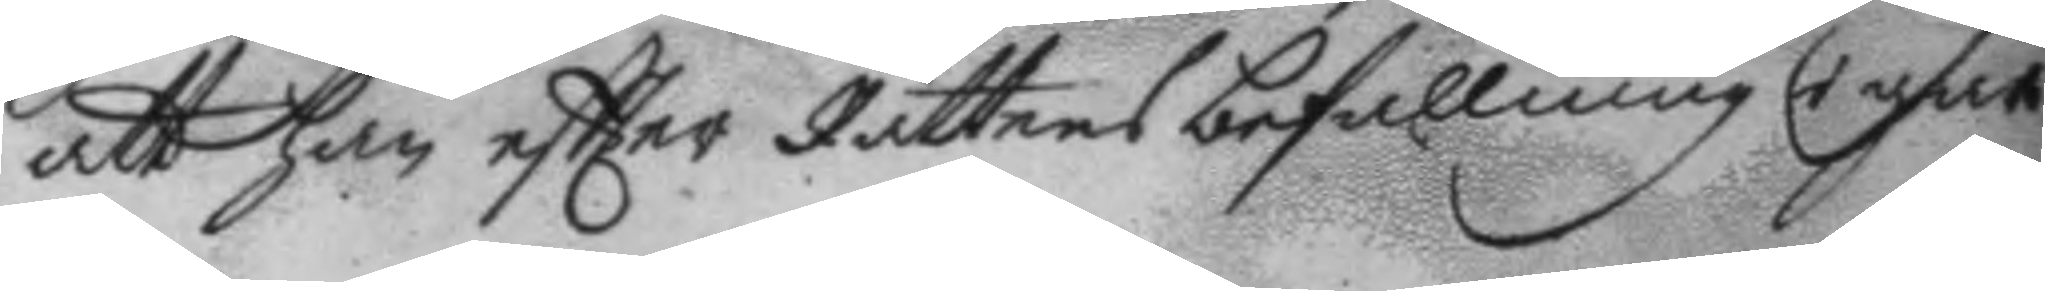att han eftter Rättens befallning i går
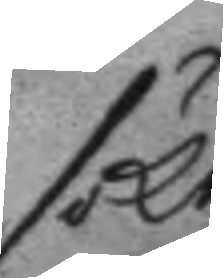sökt
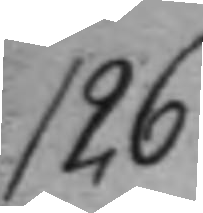126.
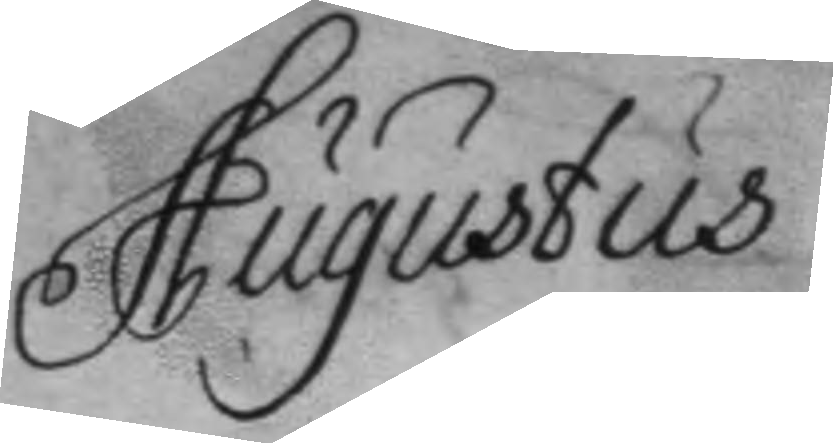Augustus
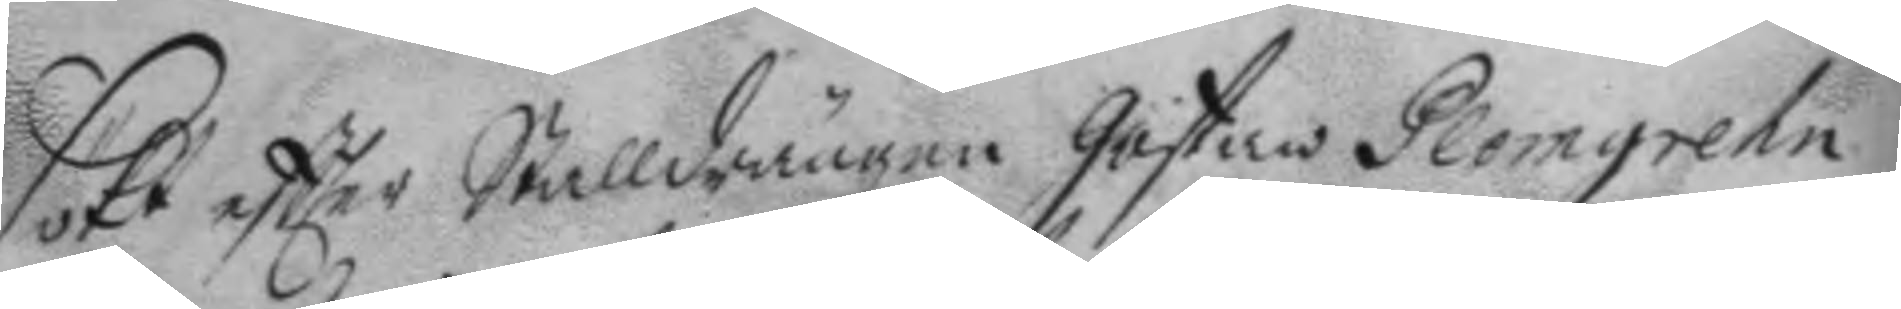sökt eftter Stalldrängen Göstaw Plomgrehn,
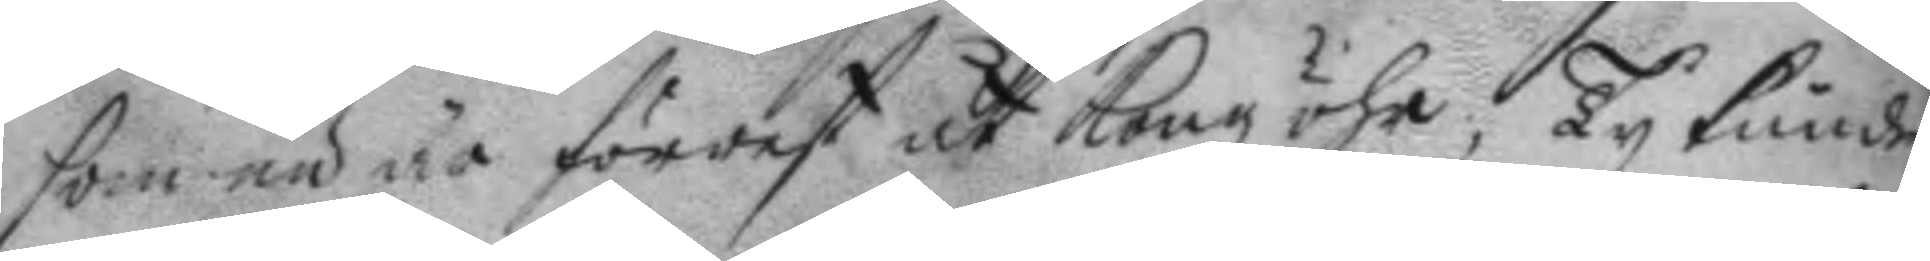som nu är förrest åt Kongz öhr, Ty kunde
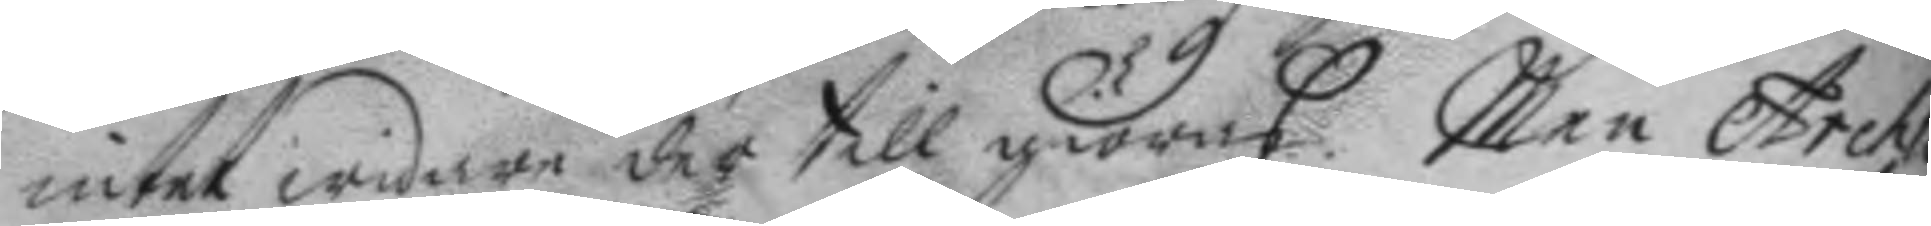intet widare der till giöras. Men Archli
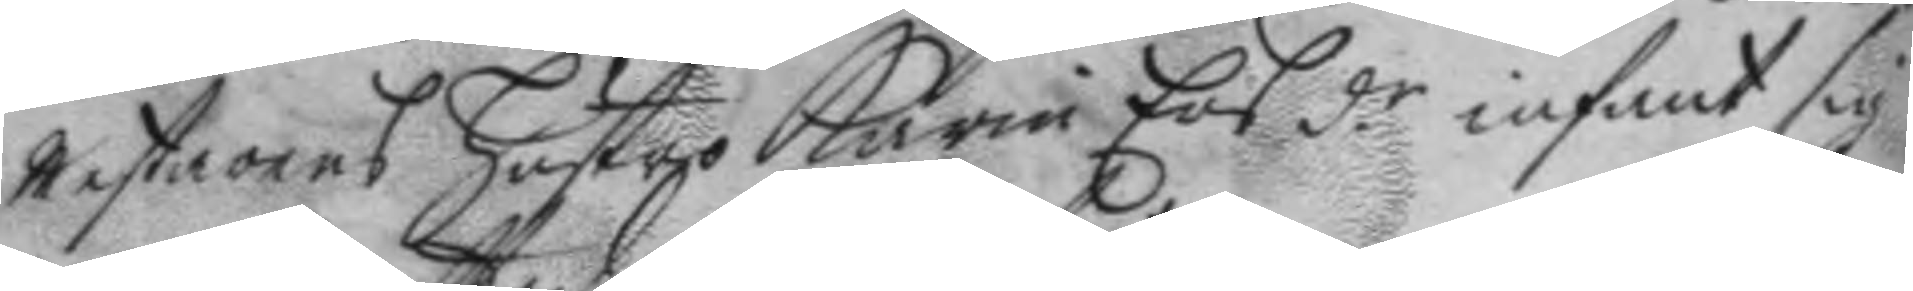mestarens hustro Karin Ers dr infant sig 
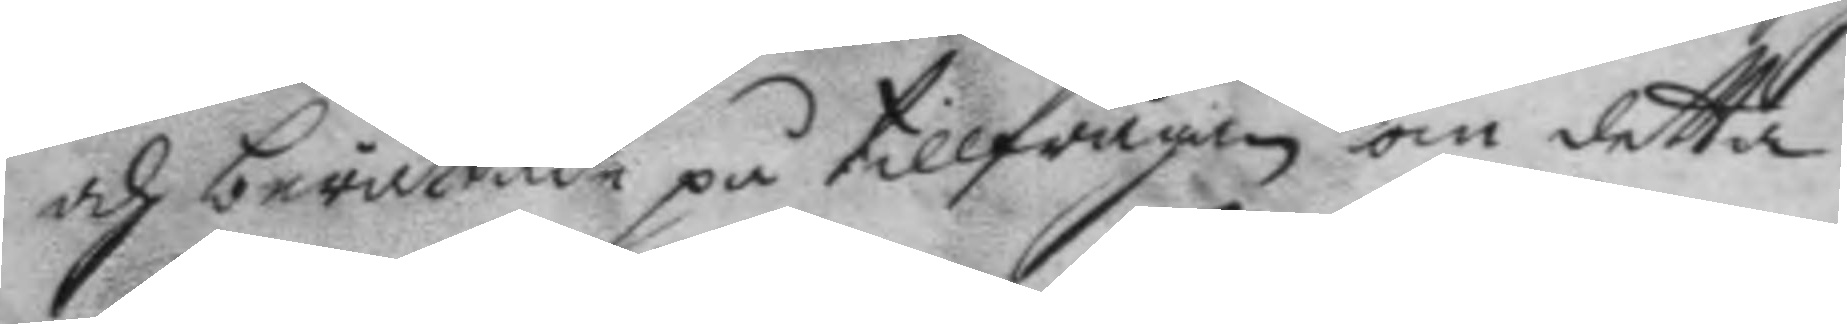och berättade på tillfrågan om detta
